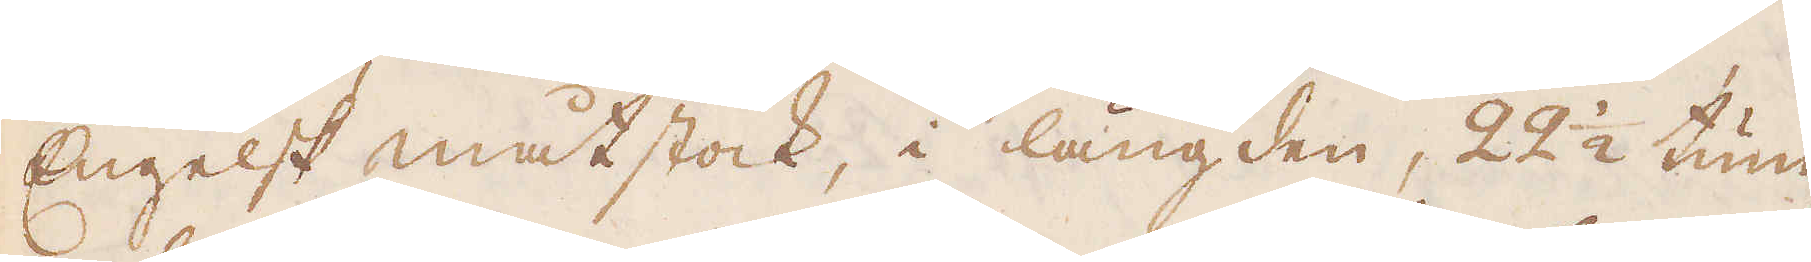Engelsk måtstock, i längden, 22 1/2 tum
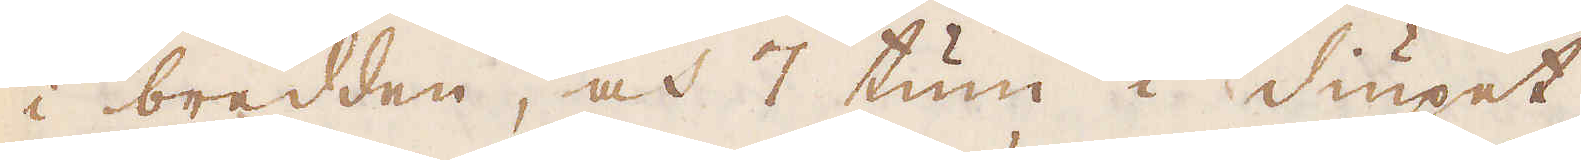i bredden, och 7 tum i diupet.
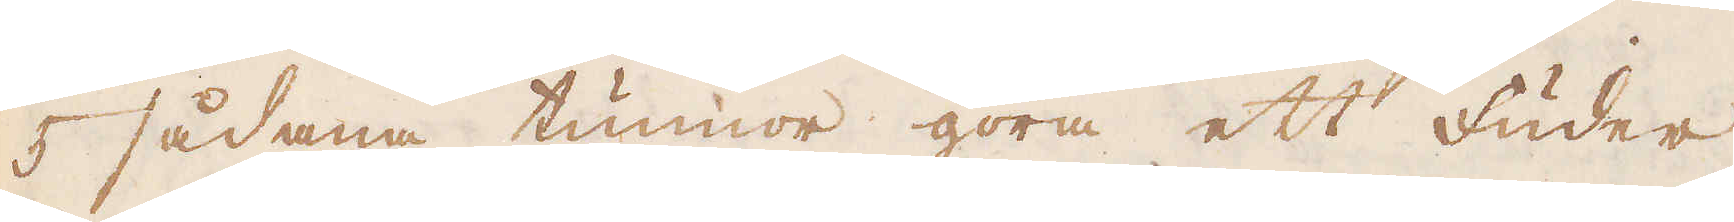5 sådana tunnor göra ett Fuder,
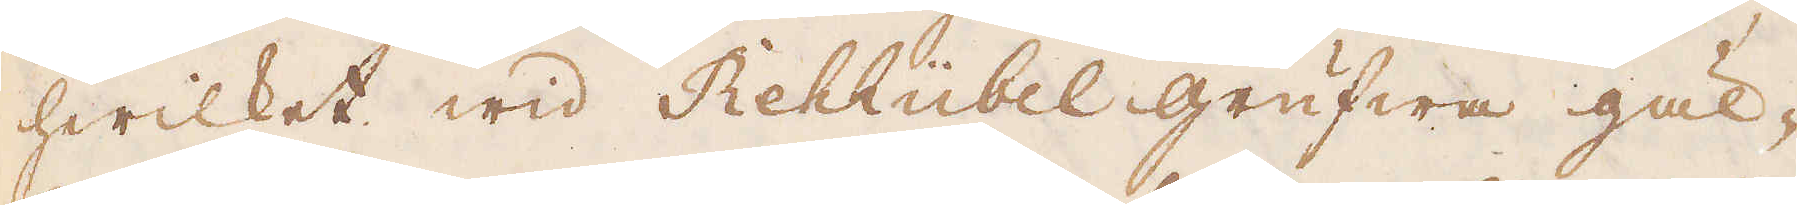hwilket wid Rehhübel grufwa gäl-
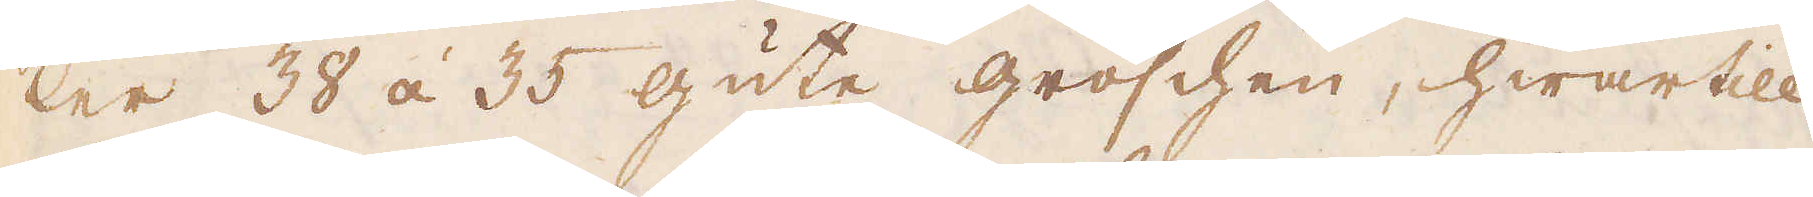ler 38 á 35 gute groschen, hwartill
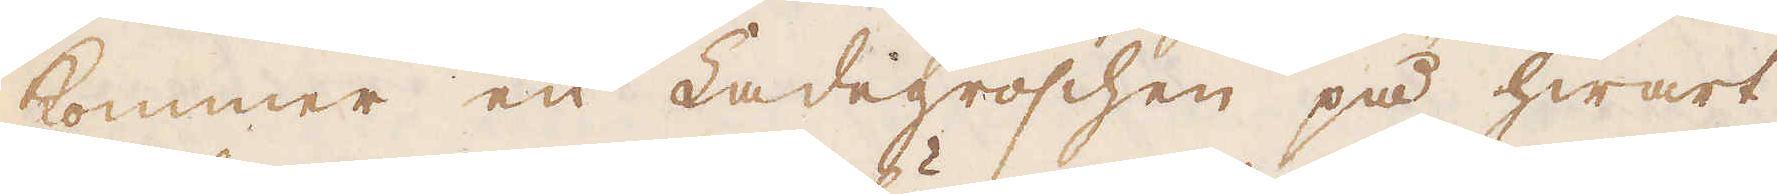kommer en Ladegroschen på hwart
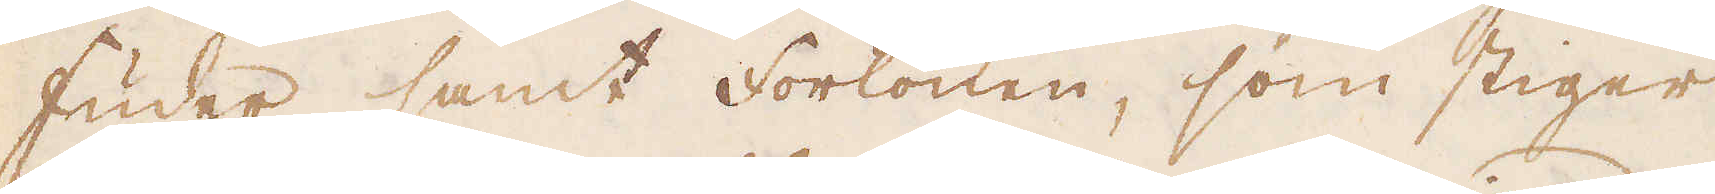Fuder samt Forlönen, som stiger
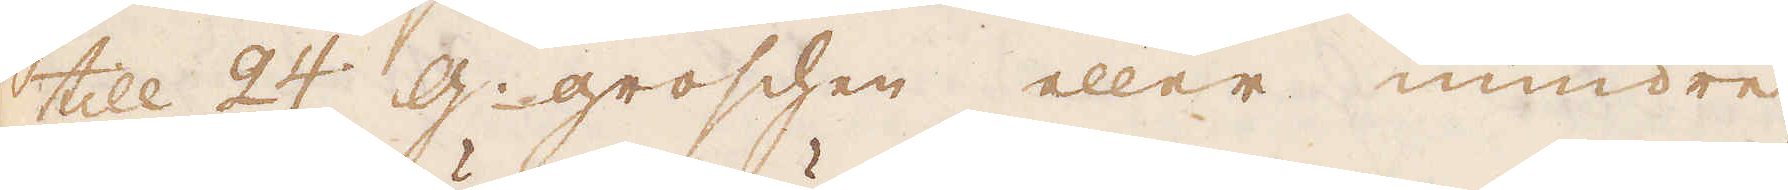till 24 g: groschen eller mindre,
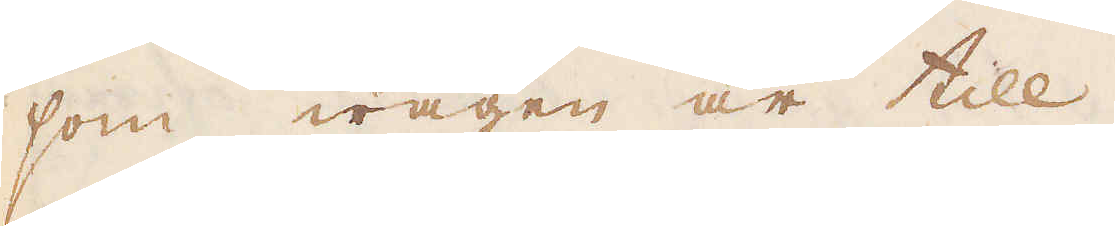som wägen är till.
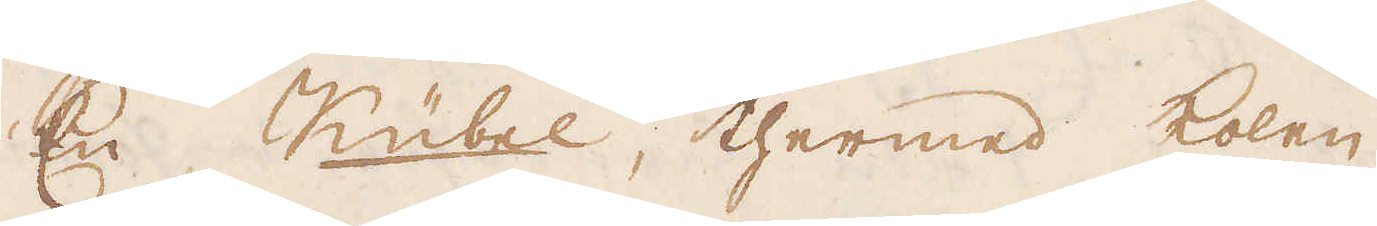En Kübel, thermed kolen
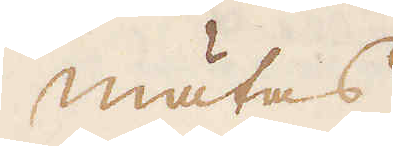mätas.
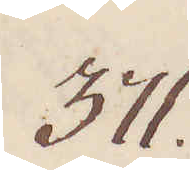371.
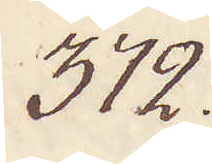372.
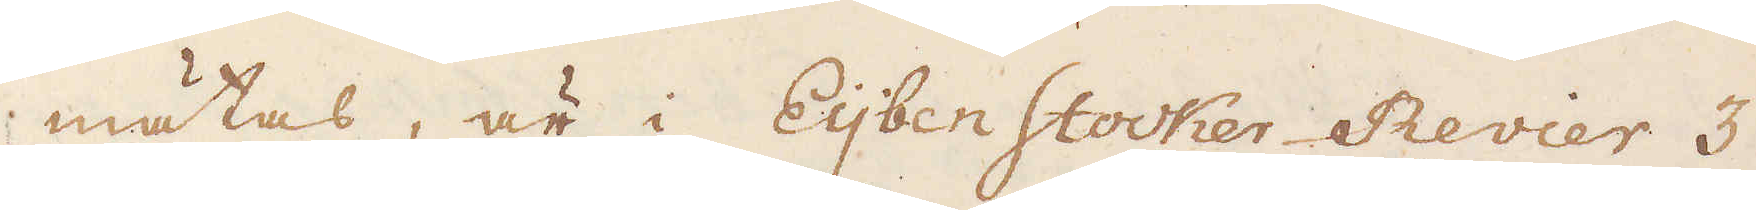mätas, är i Eijben Stocker Revier 3
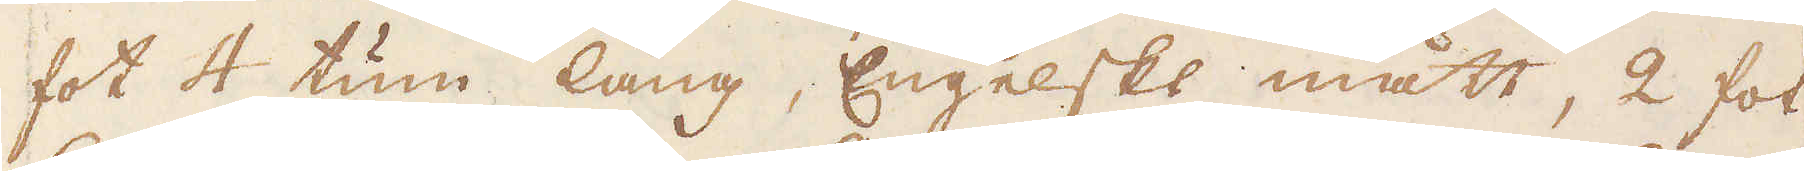fot 4 tum lång, Engelskt mått, 2 fot
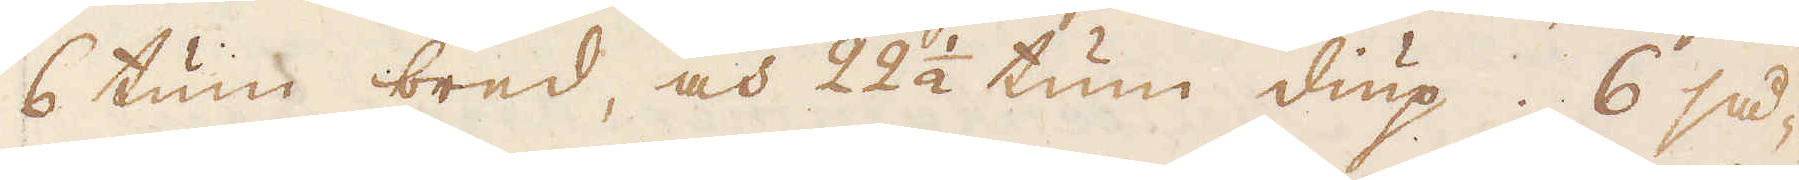6 tum bred, och 22 1/2 tum diup. 6 så-
